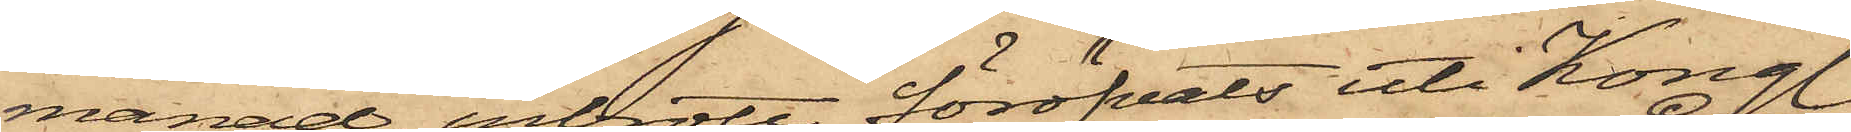månad, inbrott föröfvats uti Kongl.
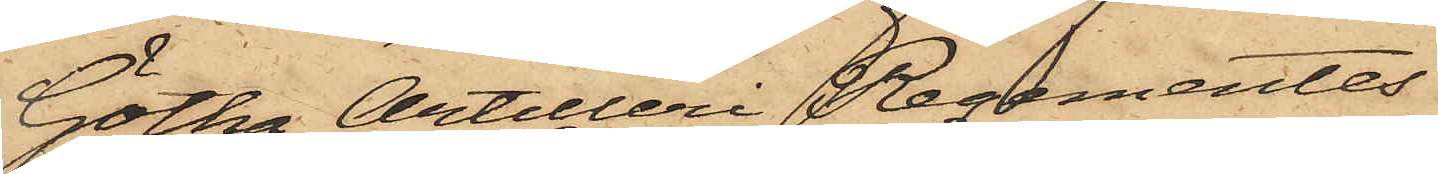Götha Artilleri Regementes
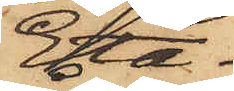Eta¬
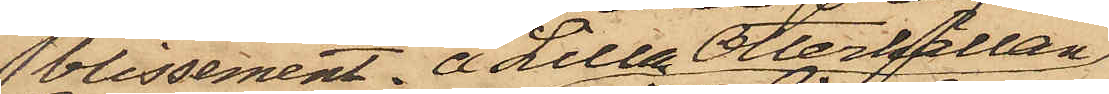blissement å Lilla Otterhällan,
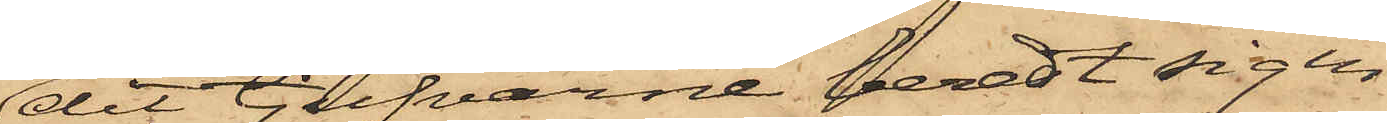dit tjufvarne beredt sig in¬
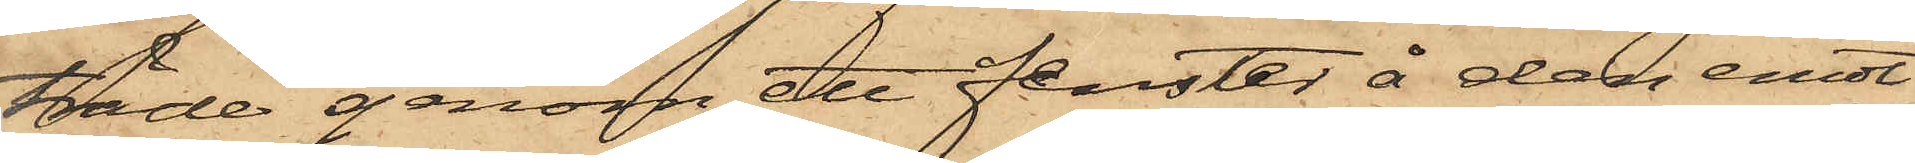träde genom ett fenster å den emot
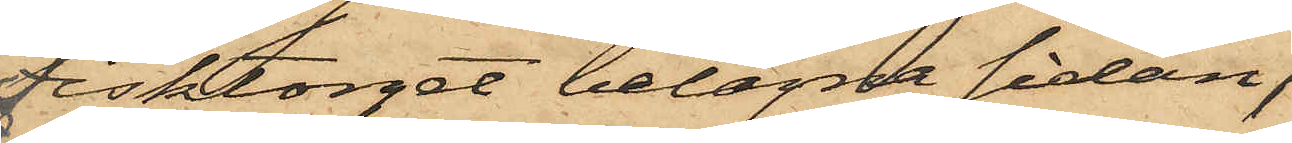Fisktorget belägna sidan,
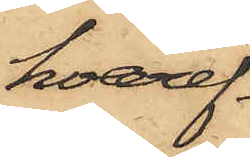hvaref¬
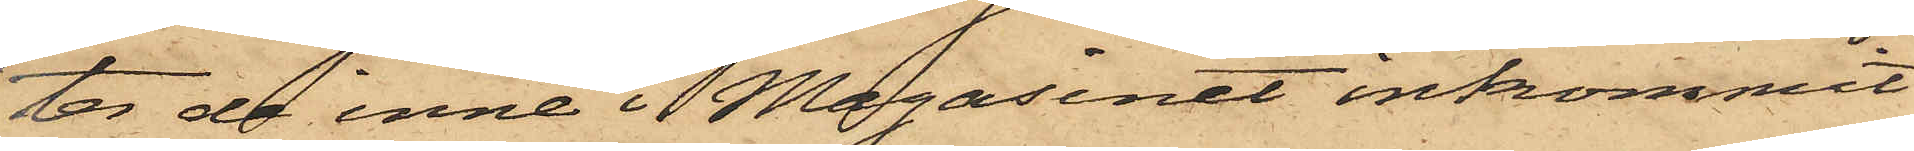ter de inne i Magasinet inkommit
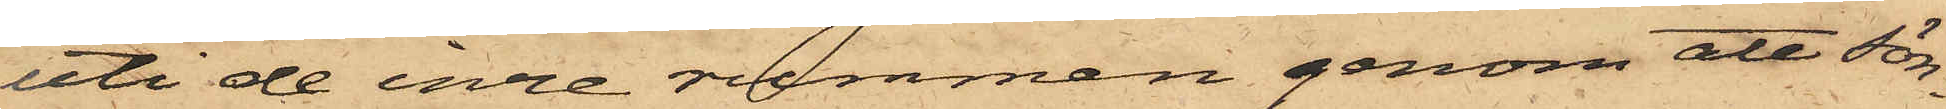uti de inre rummen genom att sön¬
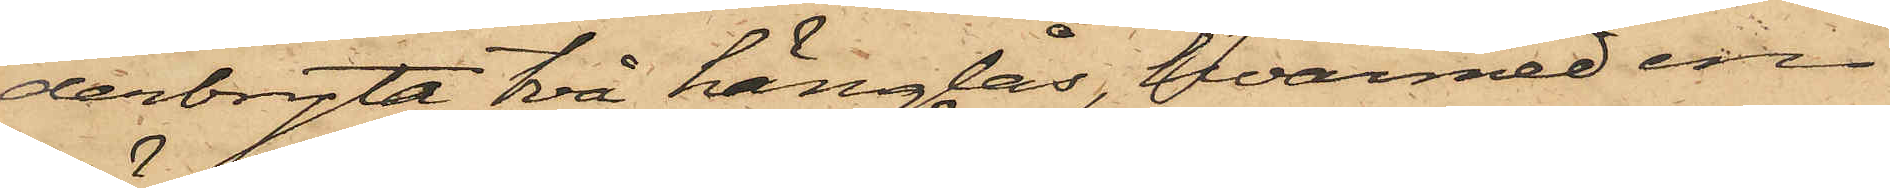derbryta två hänglås, hvarmed en
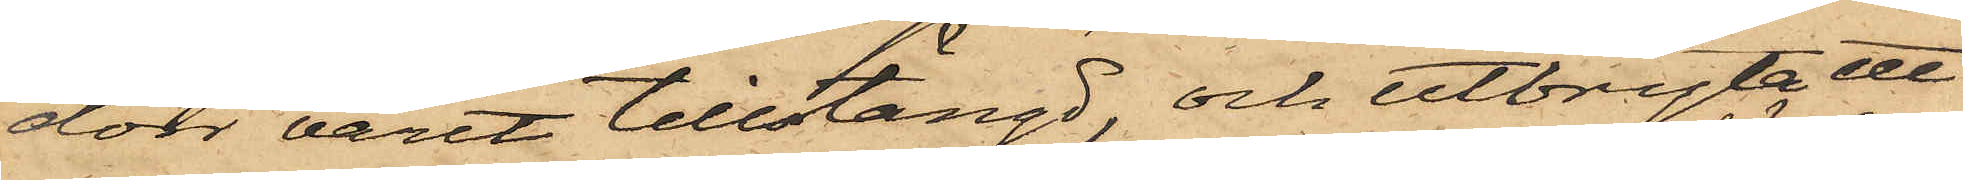dörr varit tillstängd, och utbryta ett
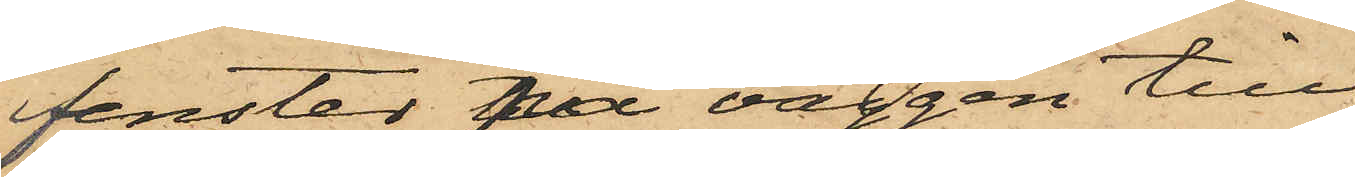fenster till väggen till
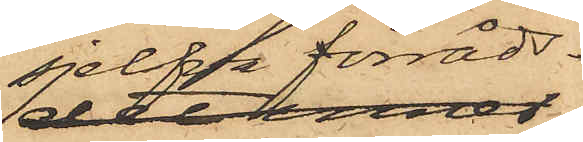sjelfva förråds¬
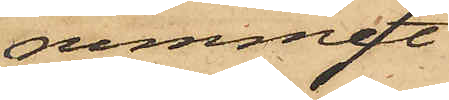rummet;
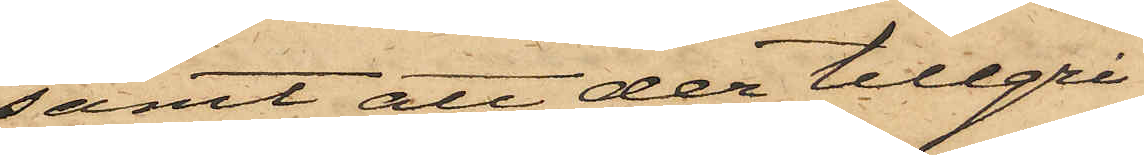samt att der tillgri¬
